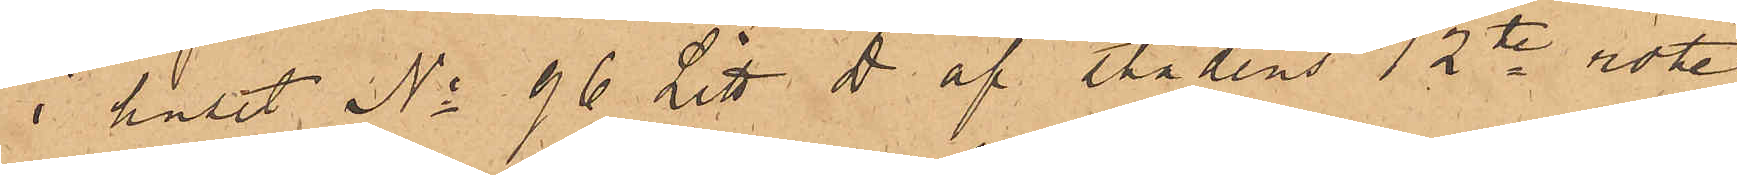i huset No 96 Litt. D. af stadens 12te rote
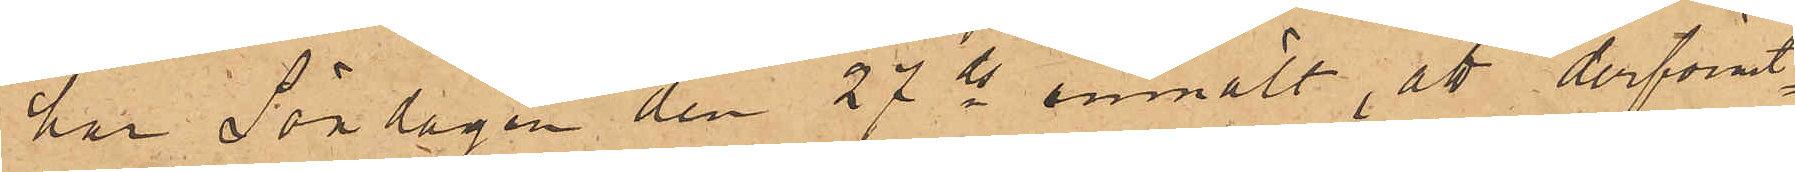har Lördagen den 27 ds anmält, att derförut¬
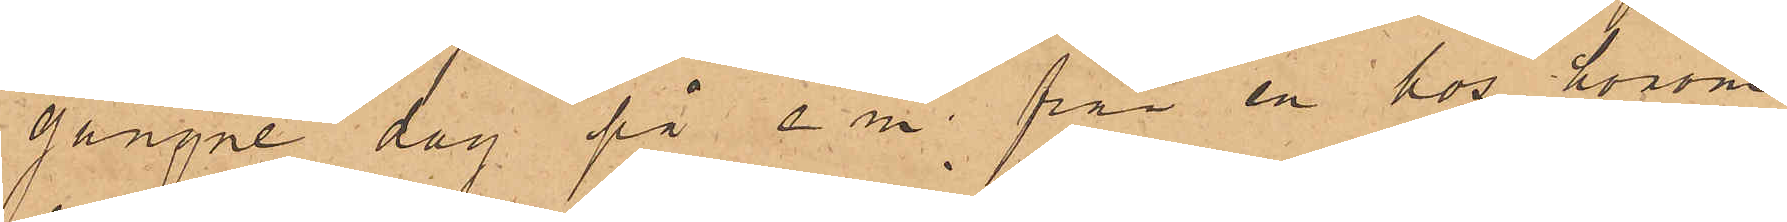gångne dag på e. m. från en hos honom
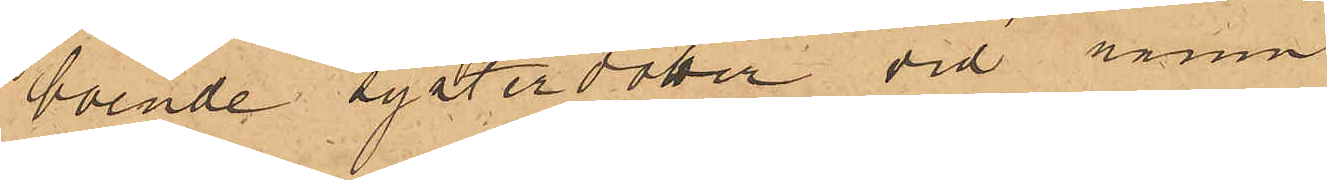boende systerdotter vid namn
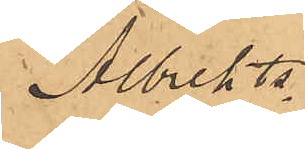Albrekts¬
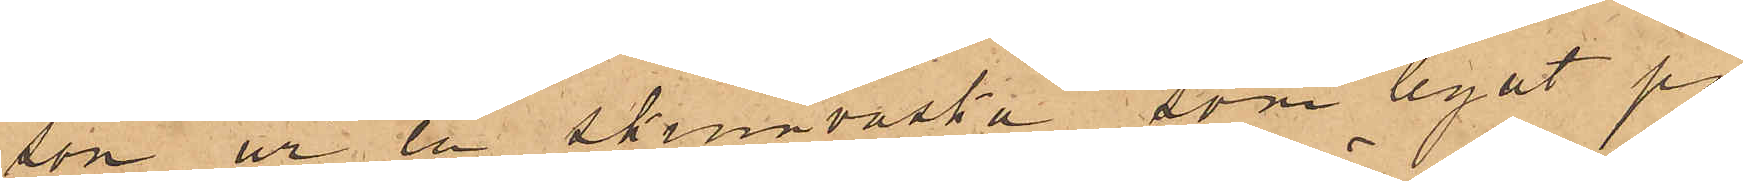son ur en skinnväska, som legat på
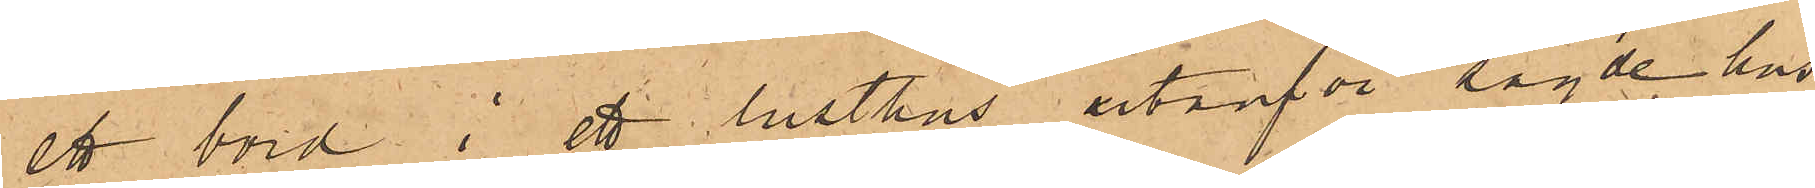ett bord i ett lusthus utanför sagde hus
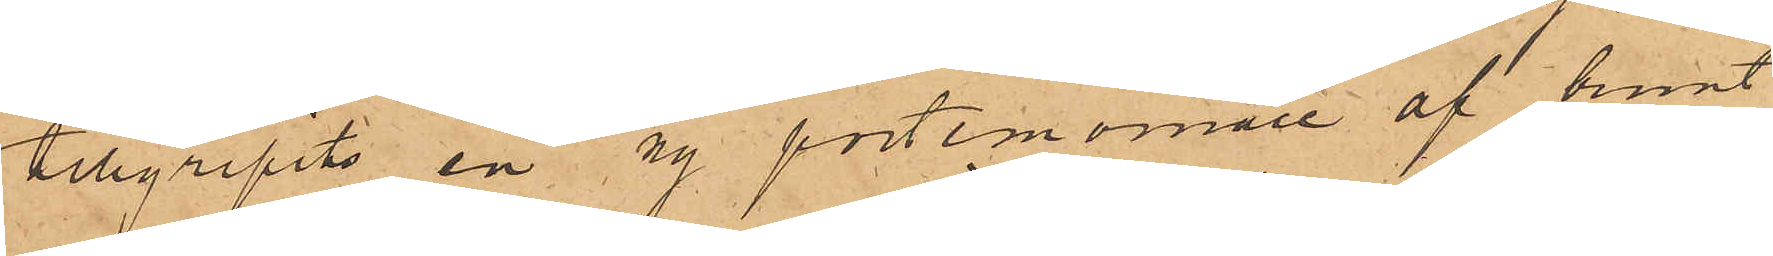tillgripits en ny portemonnaie af brunt
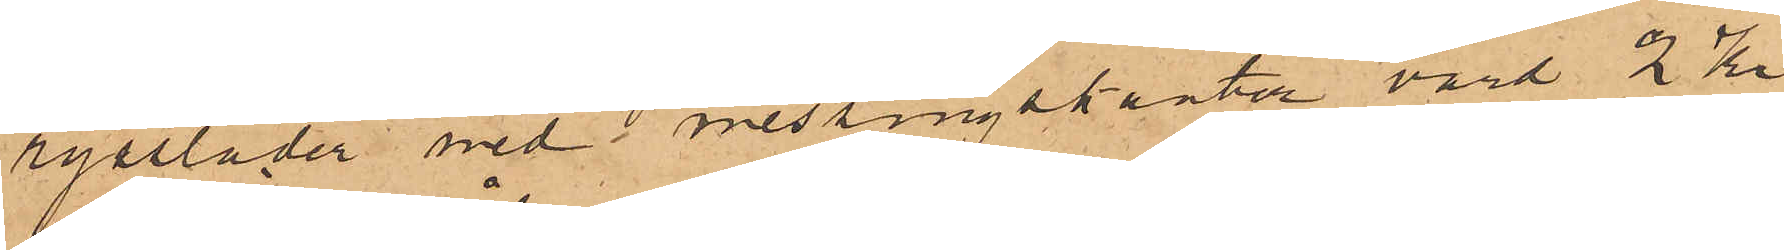ryssläder med i messingskanter värd 2 kr
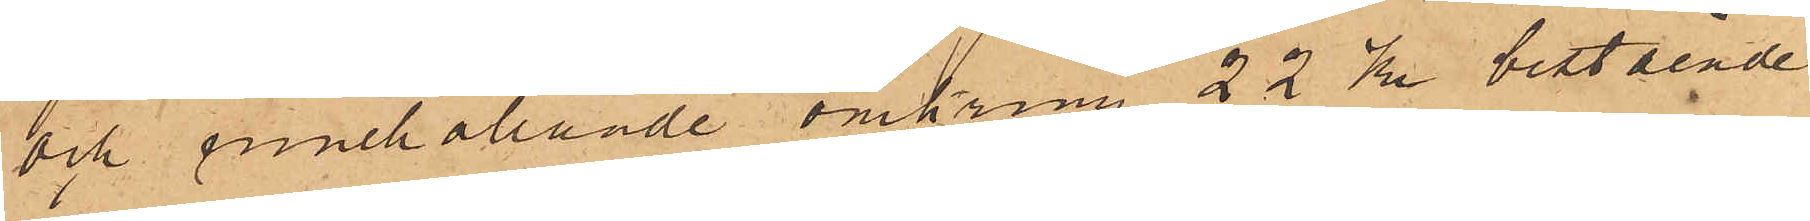och innehållande omkring 22 Kr bestående
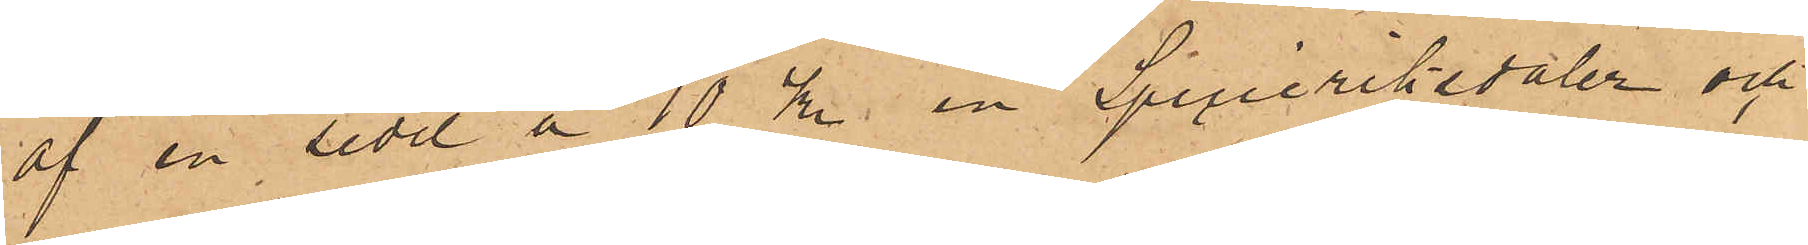af en sedel å 10 kr. en Specieriksdaler och
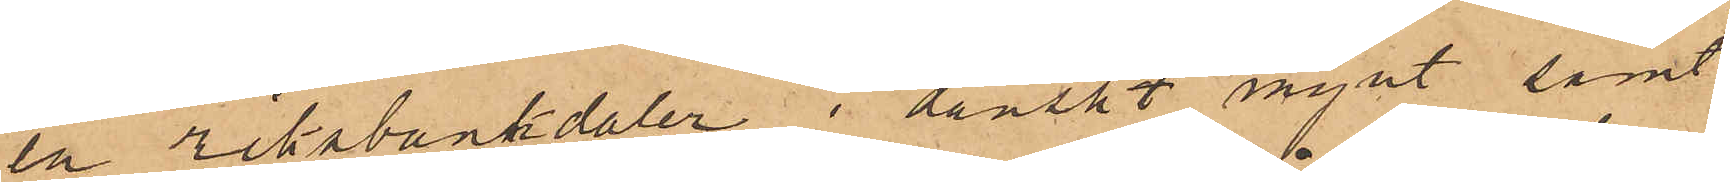en riksbankdaler i danskt mynt samt
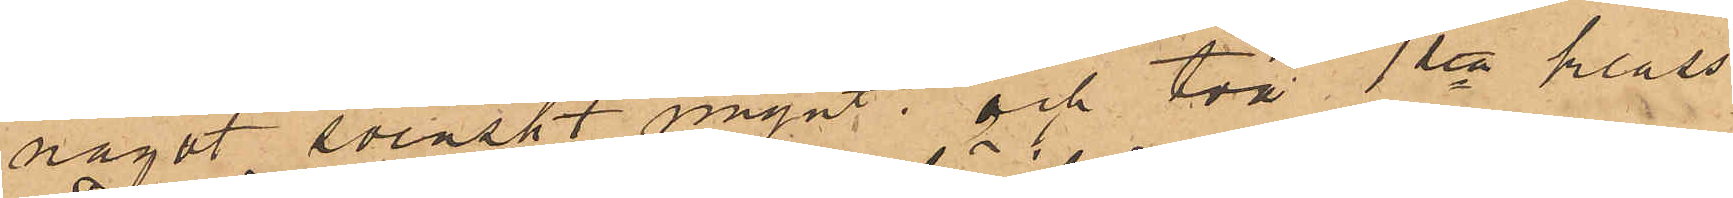något svenskt mynt; och två 1sta klass
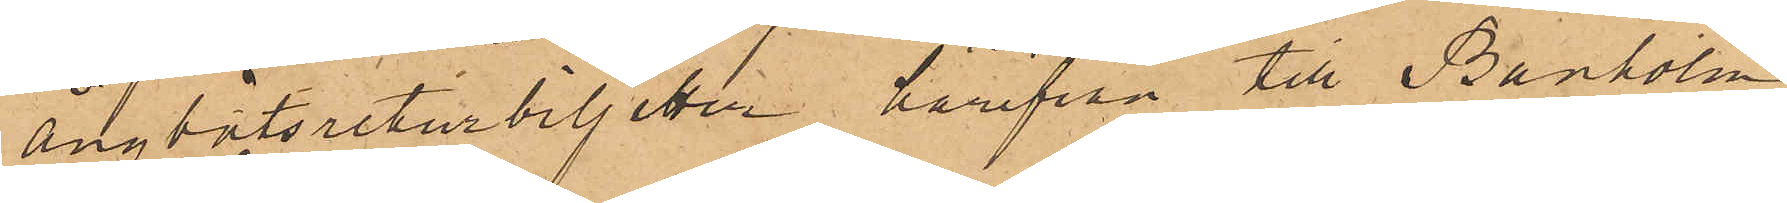ångbåtsreturbiljetter härifrån till Banholm
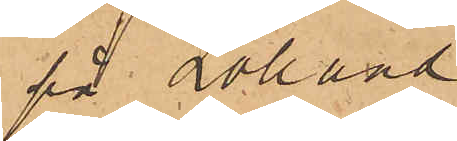på Lolland.
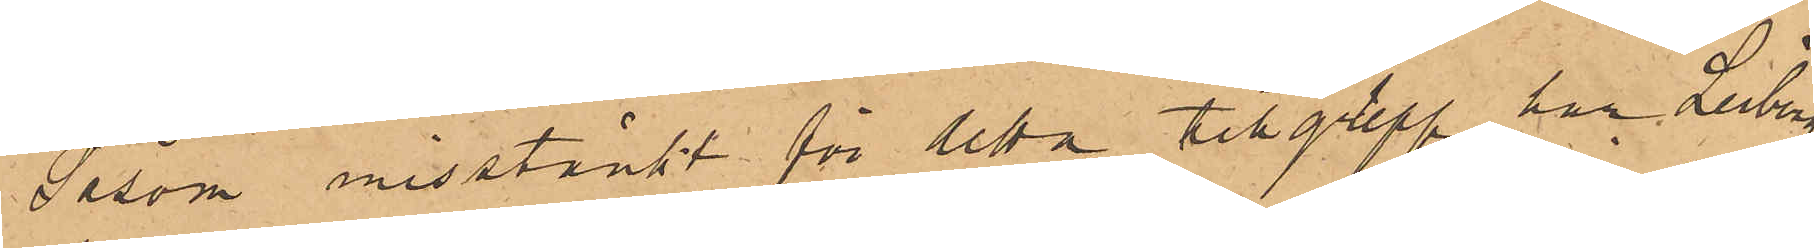Såsom misstänkt för detta tillgrepp har Leiberg
